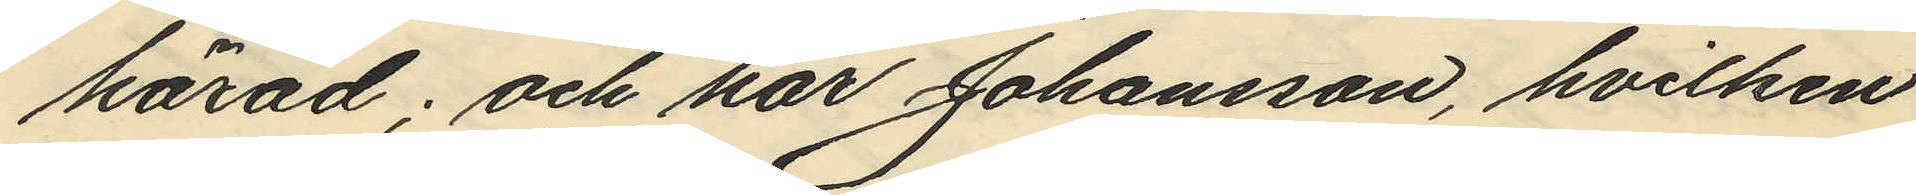härad; och har Johansson, hvilken
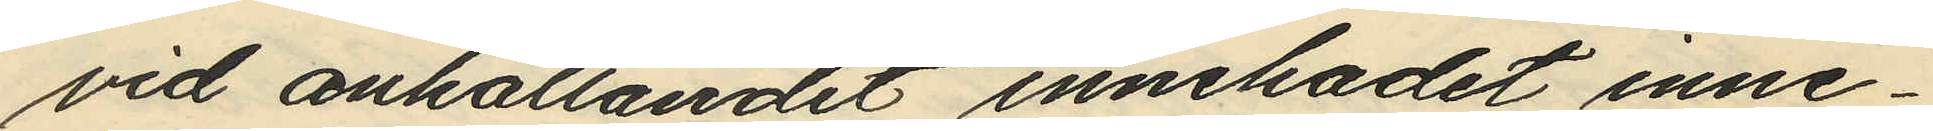vid anhållandet innehadet inne¬
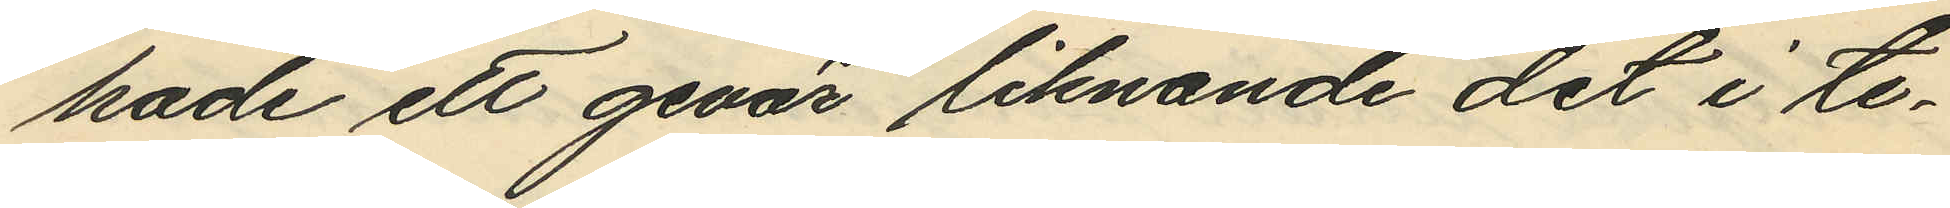hade ett gevär liknande det i te¬
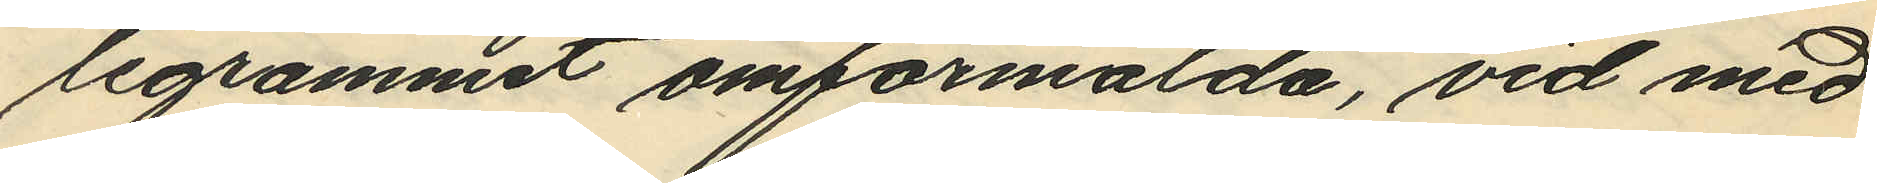legrammet omförmälda, vid med
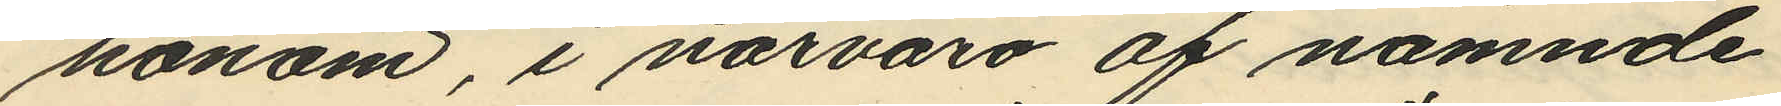honom, i närvaro af nämnde
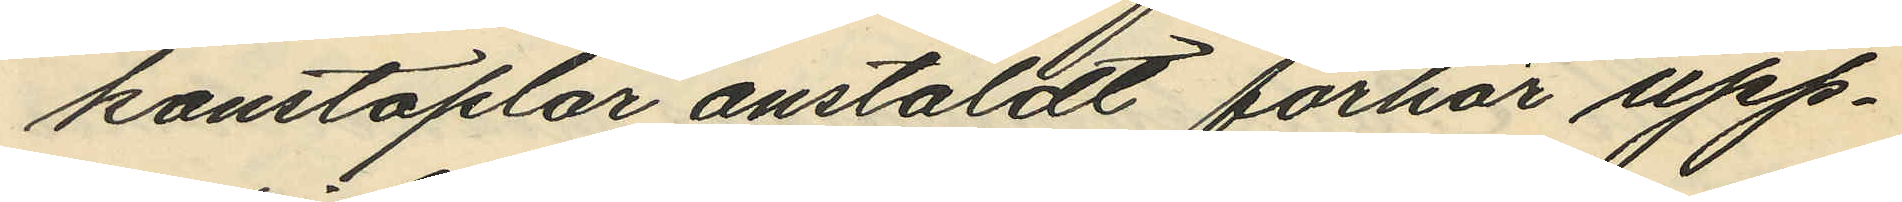konstaplar anstäldt förhör upp¬
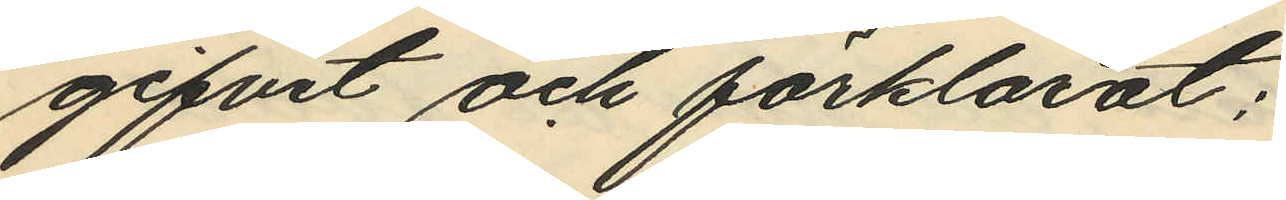gifvit och förklarat:
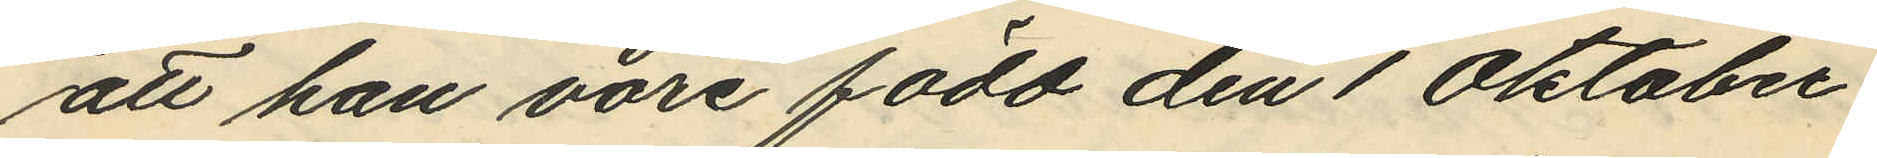att han vore född den 1 Oktober
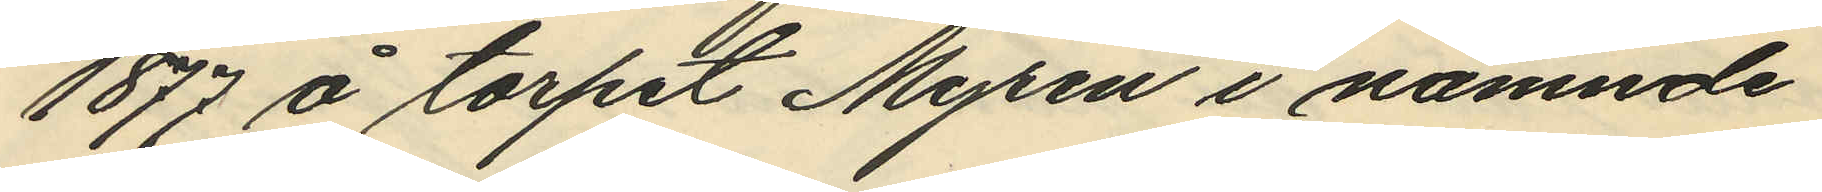1877 å torpet Myren i nämnde
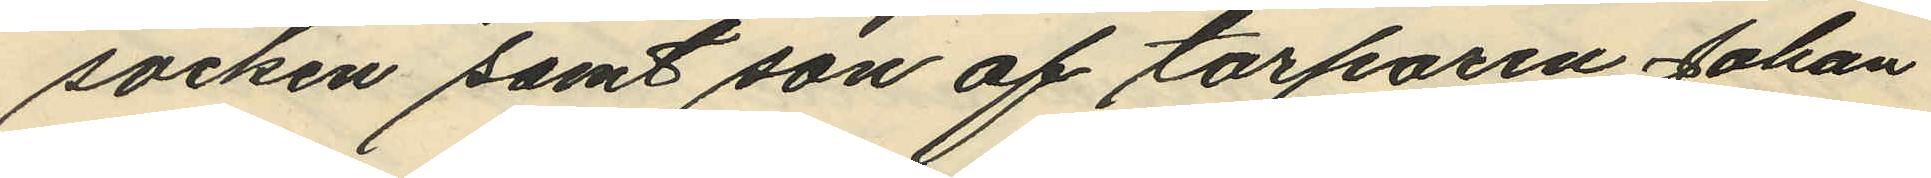socken samt son af torparen Johan
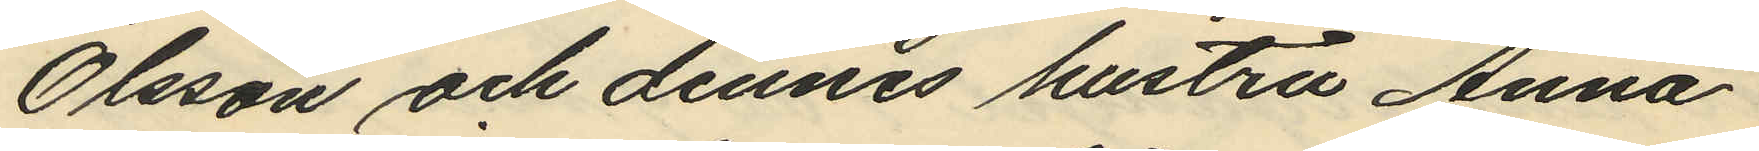Olsson och dennes hustru Anna
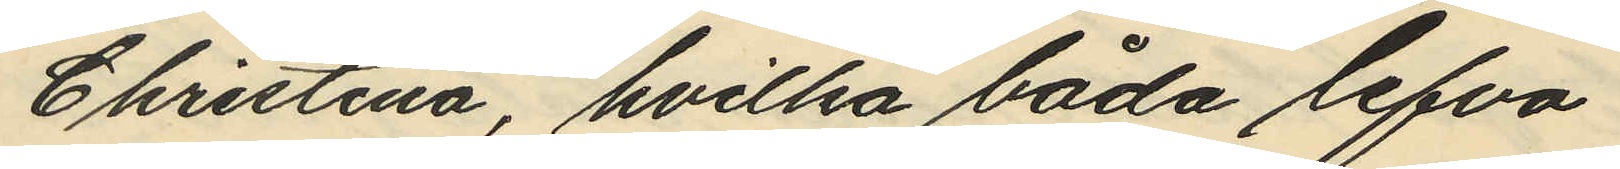Christina, hvilka båda lefva
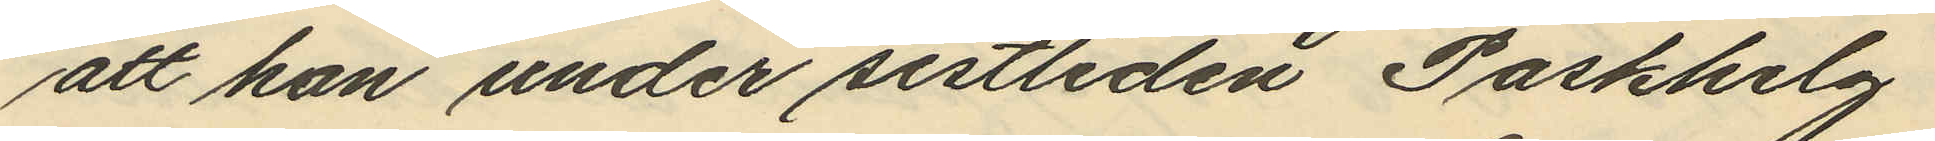att han under sistliden Paskhelg
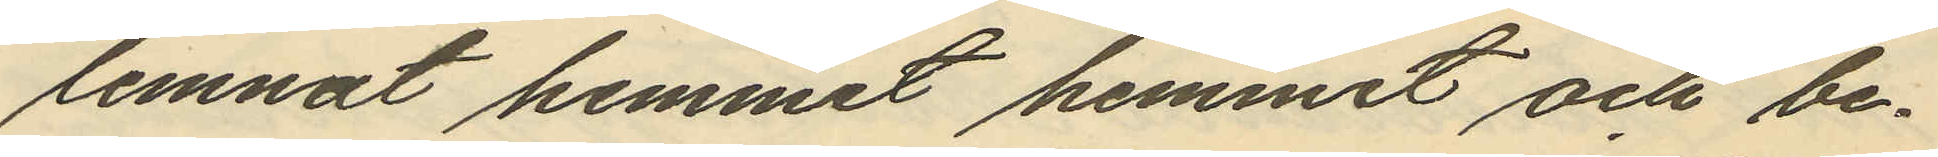lemnat hemmet hemmet och be¬
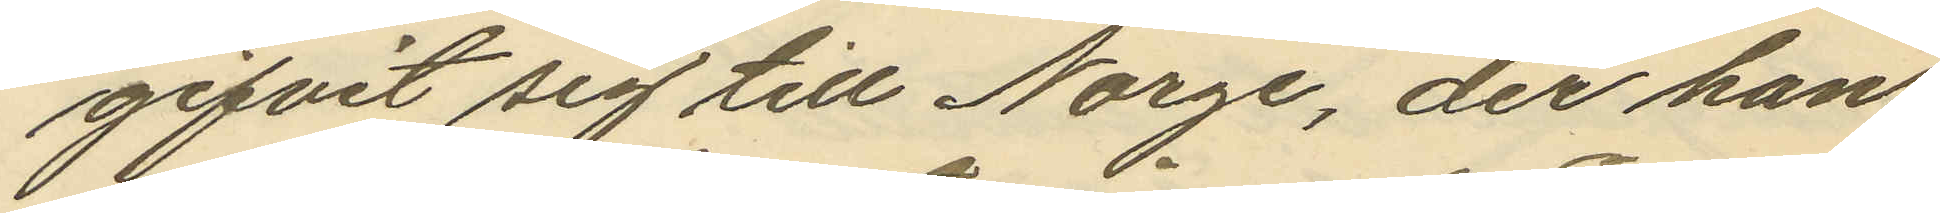gifvit sig till Norge, der han
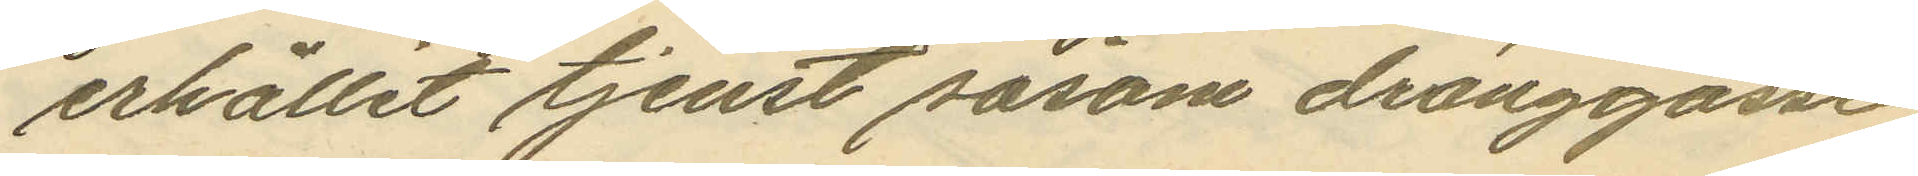erhållit tjenst såsom dränggosse
